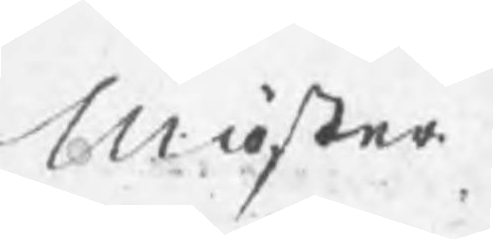Mäster
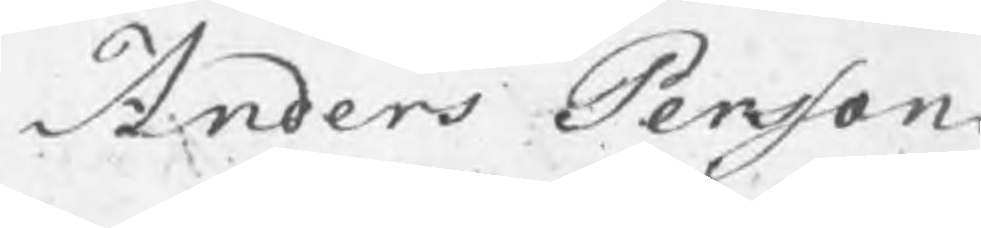Anders Persson
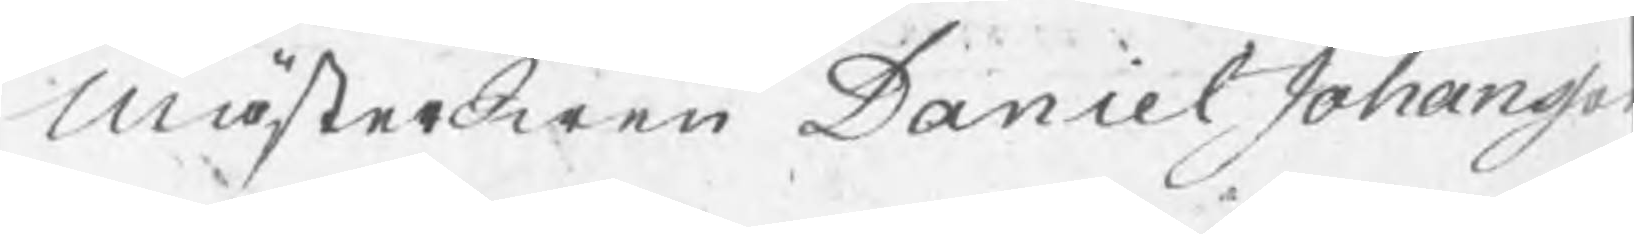MästerSwen Daniel Johansso
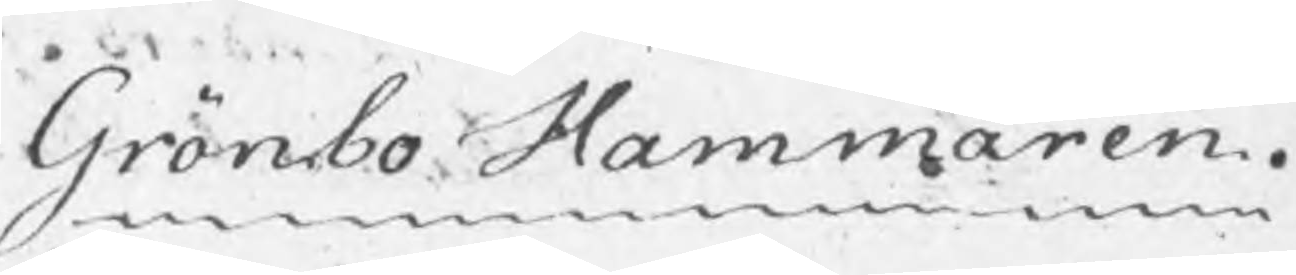Grönbo Hammaren.
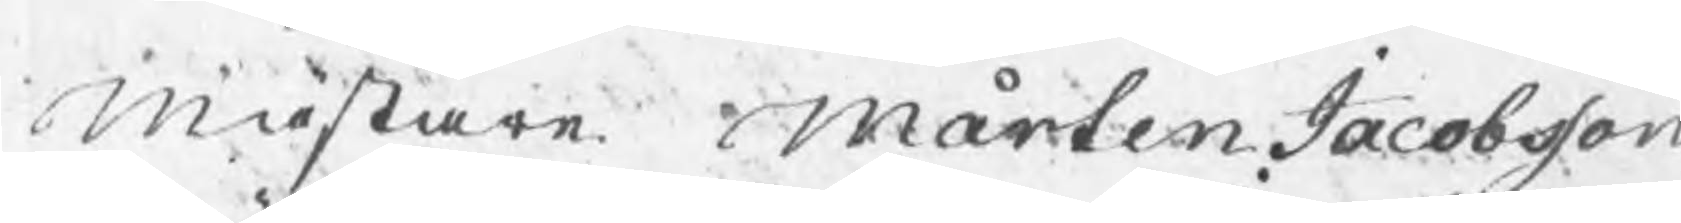Mästare Mårten Jacobsson
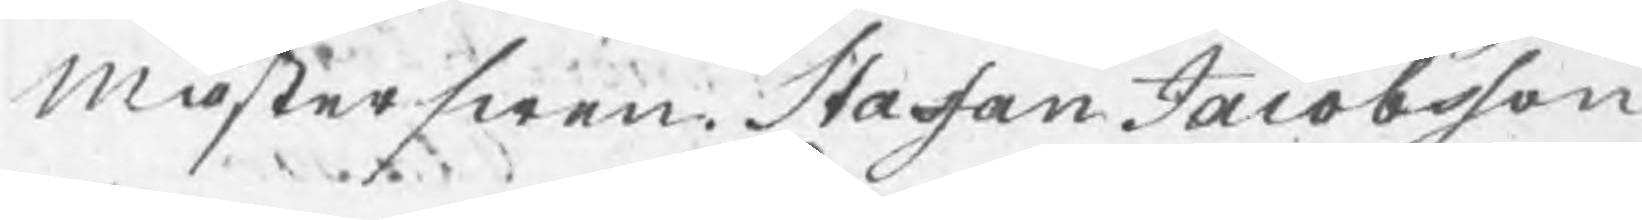Mästerswen Stafan Jacobsson
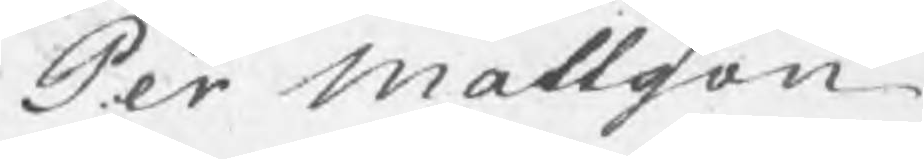Per Mattsson
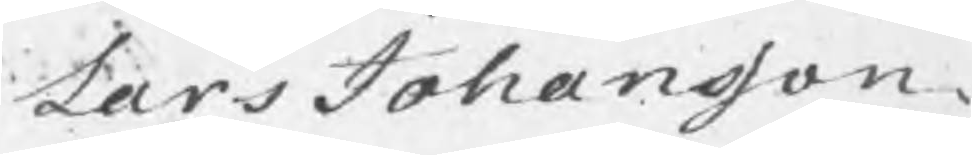Lars Johansson.
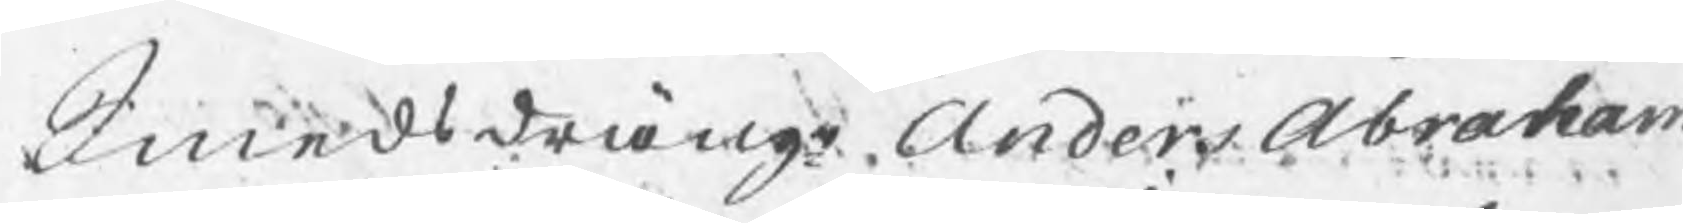Smedsdräng Anders Abraham
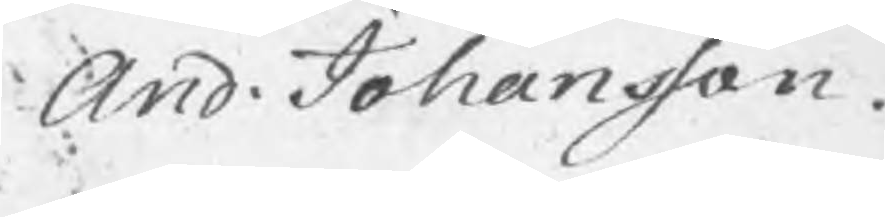And. Johansson.
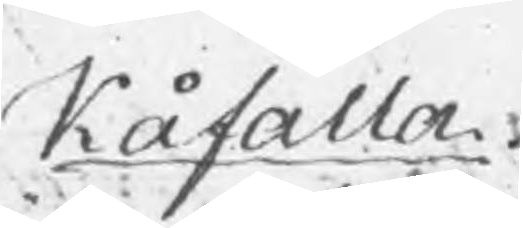Kåfalla
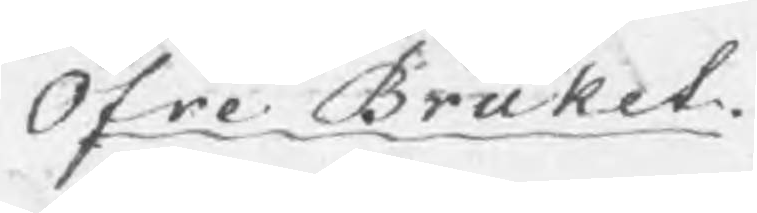Öfre Bruket.
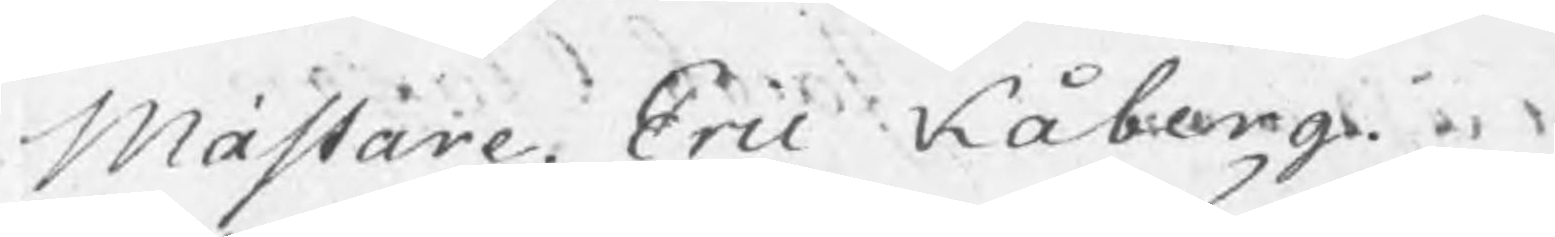Mästare. Eric Kåberg.
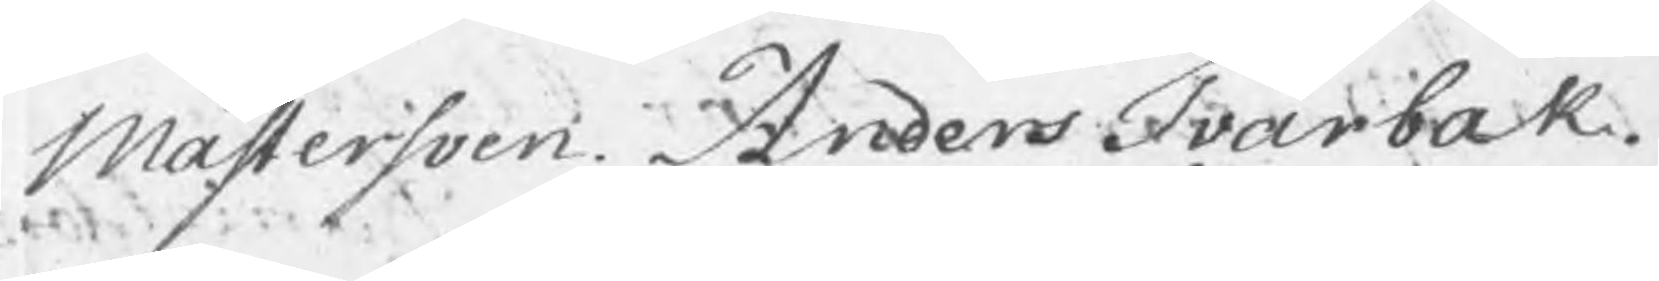Mästersven. Anders Tvärbak.
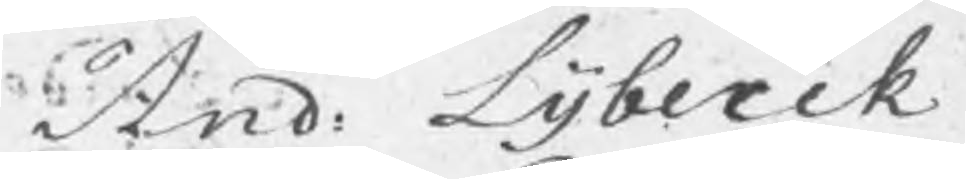And: Lybeck
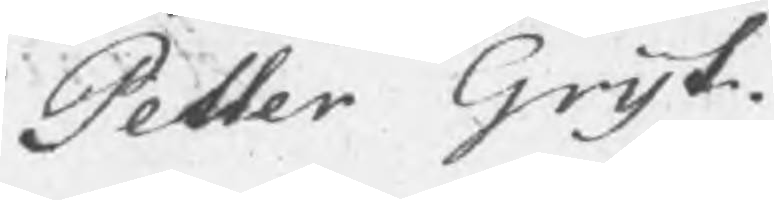Petter Gryt.
